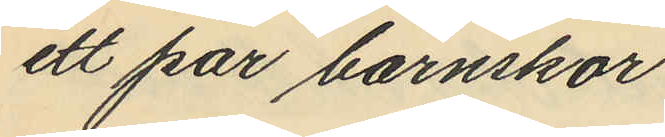ett par barnskor
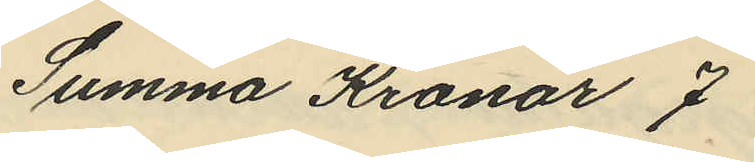Summa Kronor 7
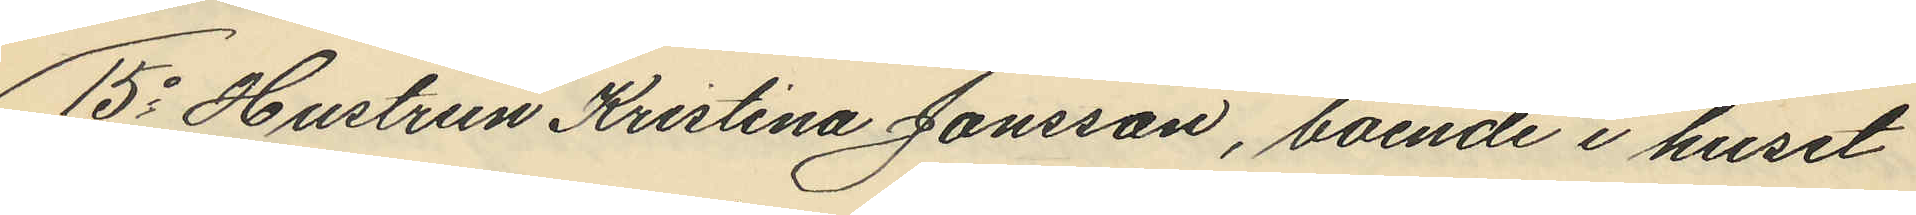15o Hustrun Kristina Jonsson, boende i huset
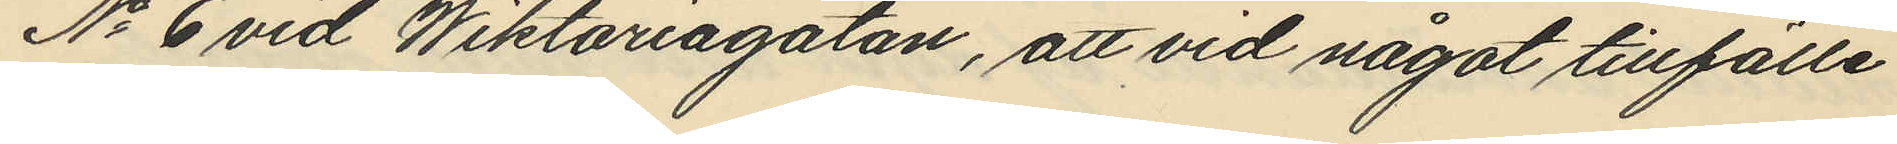No 6 vid Wiktoriagatan, att vid något tillfälle
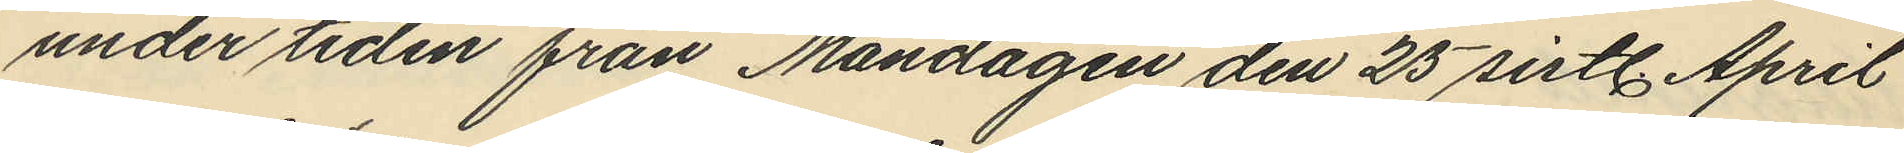under tiden från Måndagen den 25 sistl. April
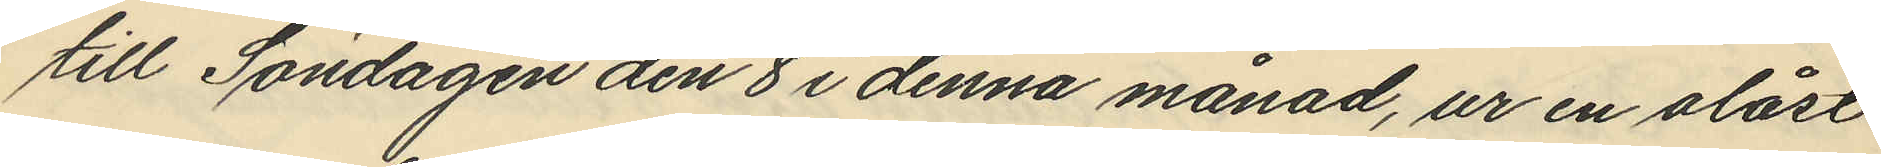till Söndagen den 8 i denna månad, ur en olåst
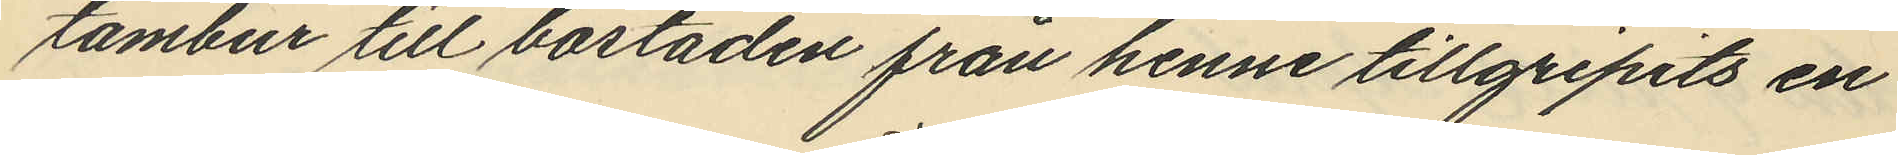tambur till bostaden från henne tillgripits en
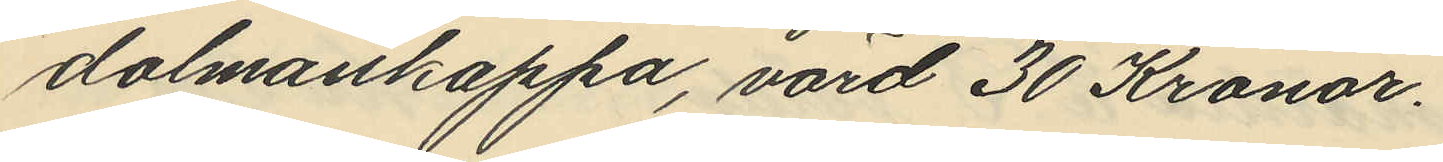dalmankappa, värd 30 Kronor.
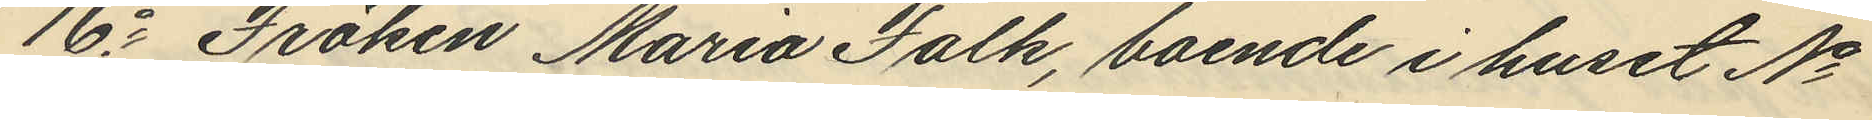16o Fröken Maria Falk, boende i huset No
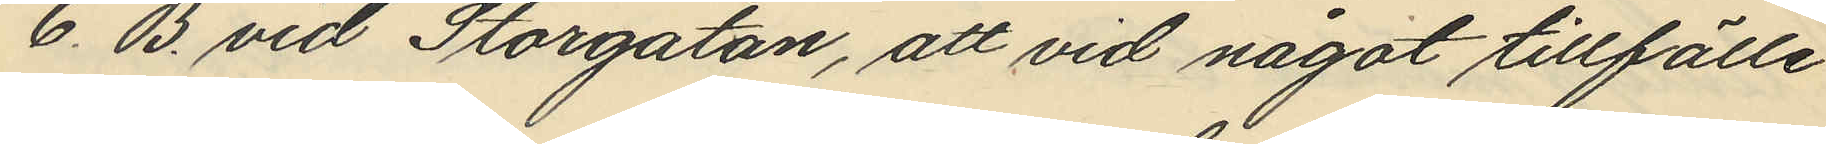6 B. vid Storgatan, att vid något tillfälle
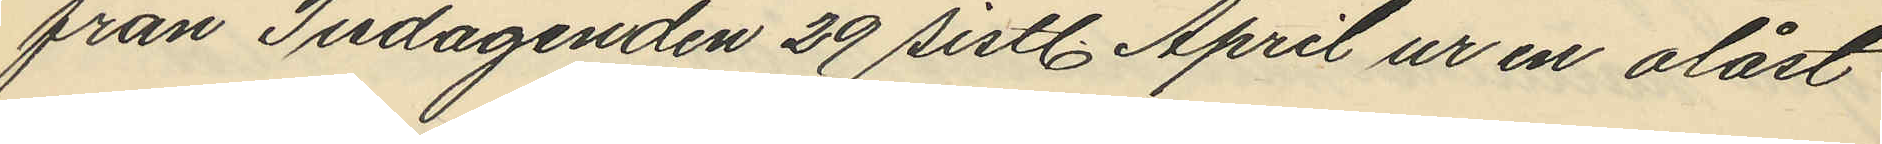från Tisdagen den 29 sistl. April ur en olåst
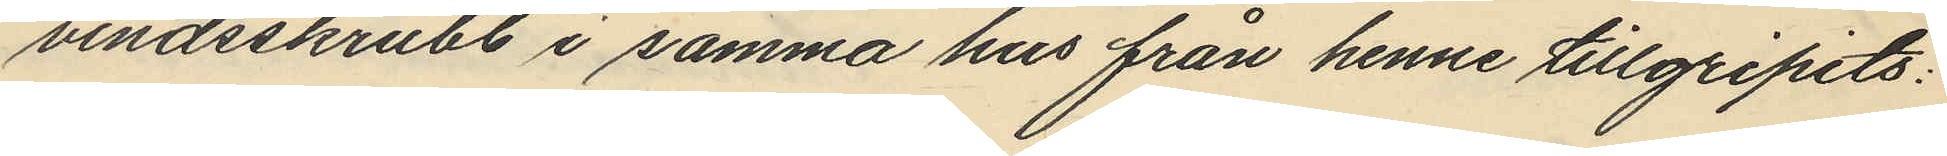vindsskrubb i samma hus från henne tillgripits:
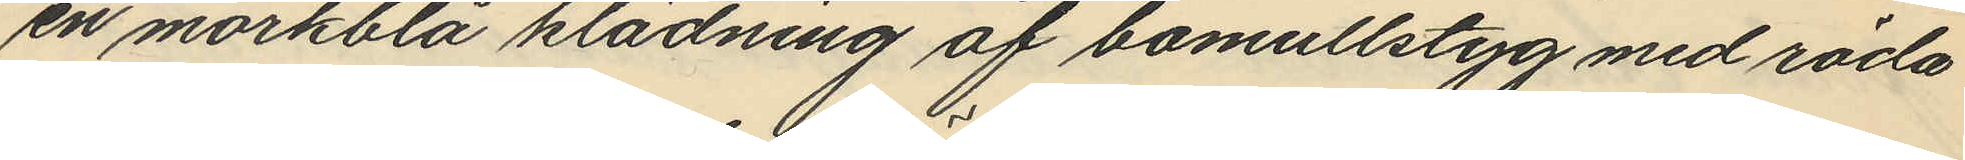en mörkblå klädning af bomullstyg med röda
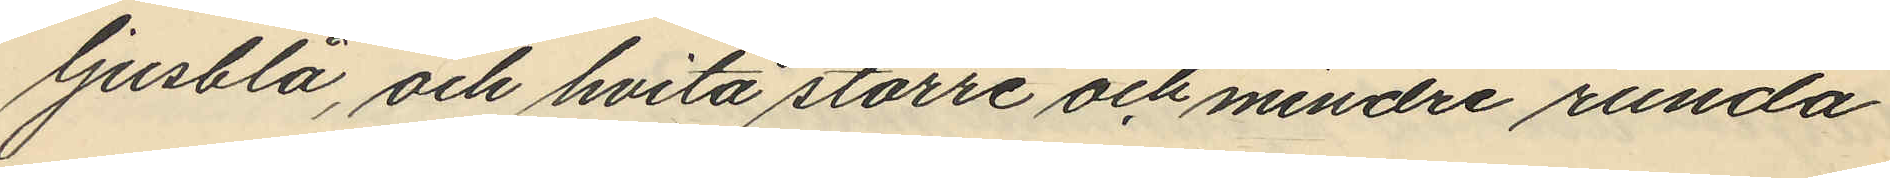ljusblå, och hvita större och mindre runda
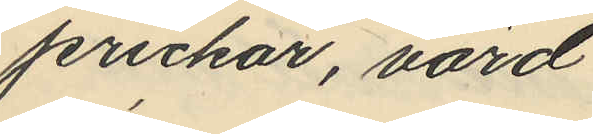prickar, värd
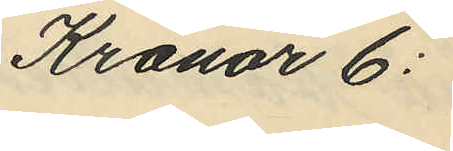Kronor 6:
